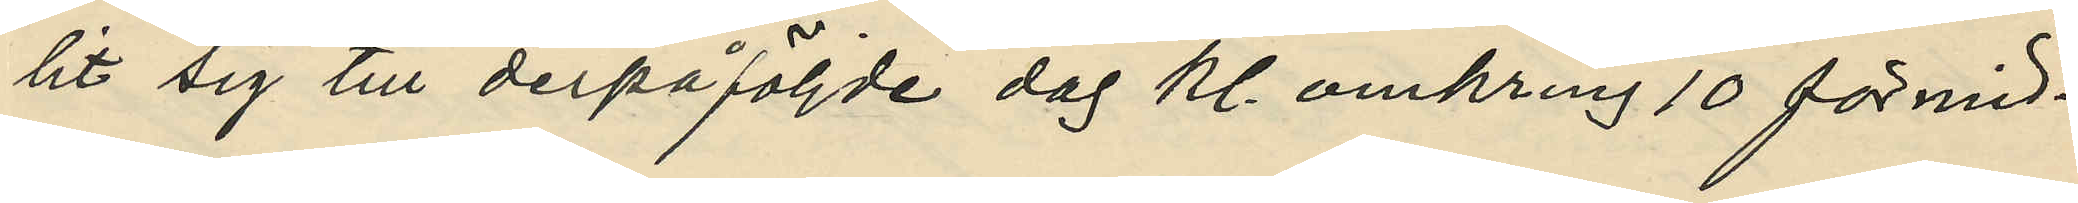lit sig till derpåföljande dag kl. omkring 10 förmid¬
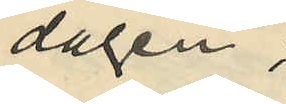dagen;
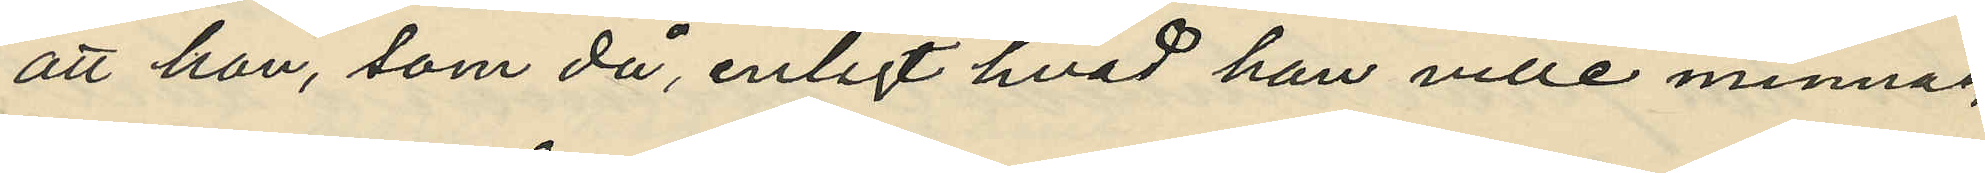att han, som då, enligt hvad han ville minnas,
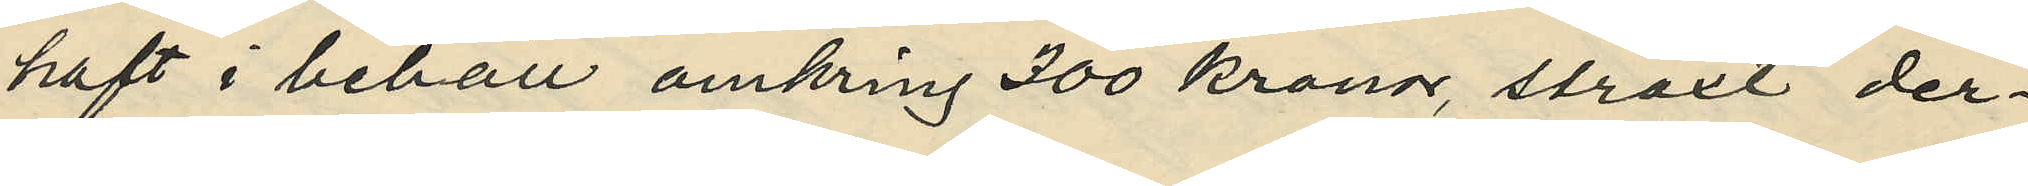haft i behåll omkring 300 kronor, straxt der¬
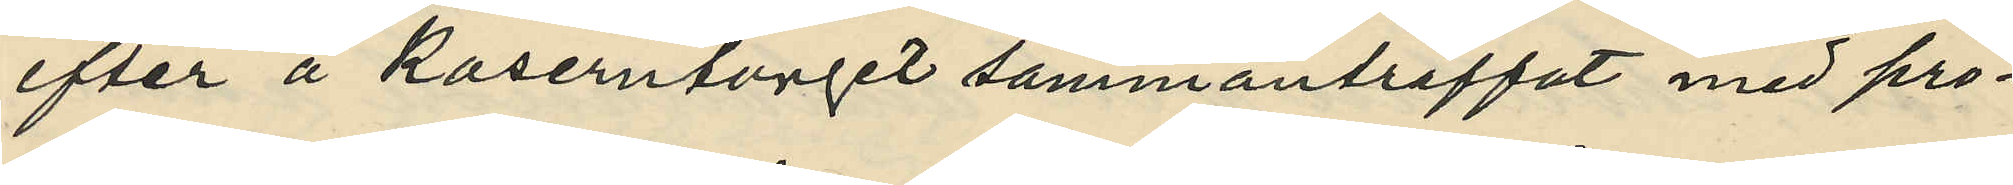efter å Kaserntorget sammanträffat med pro¬
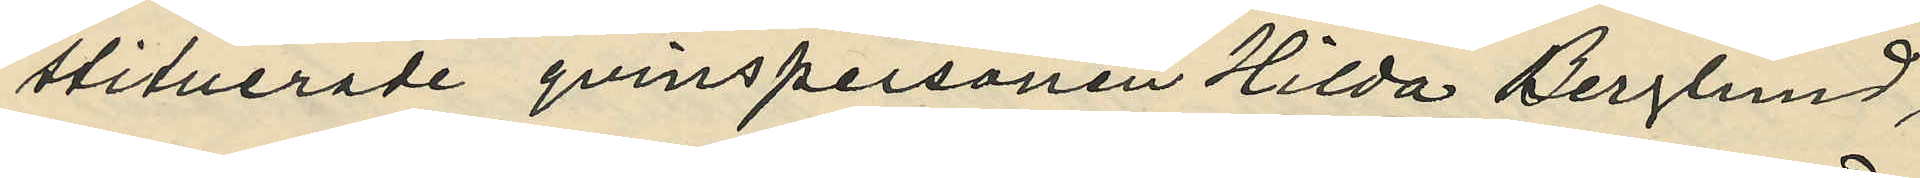stituerade qvinspersonen Hilda Berglund;
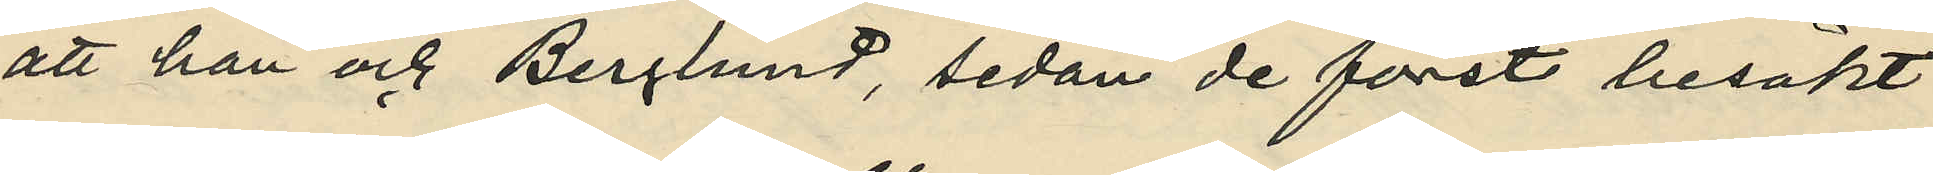att han och Berglund, sedan de först besökt
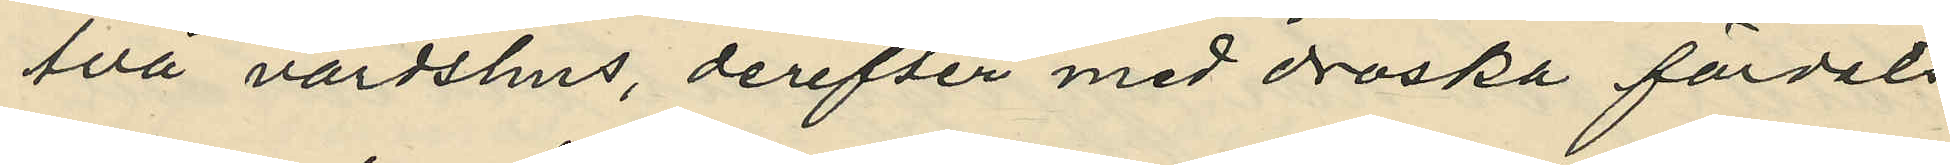två värdshus, derefter med droska färdats
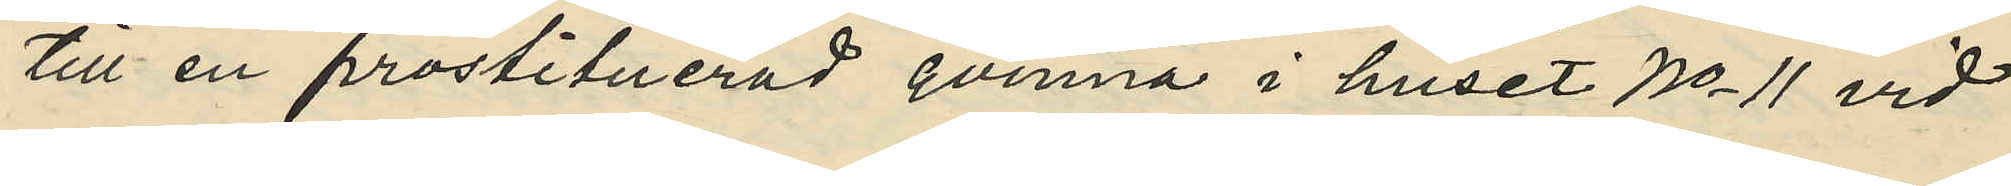till en prostituerad qvinna i huset No 11 vid
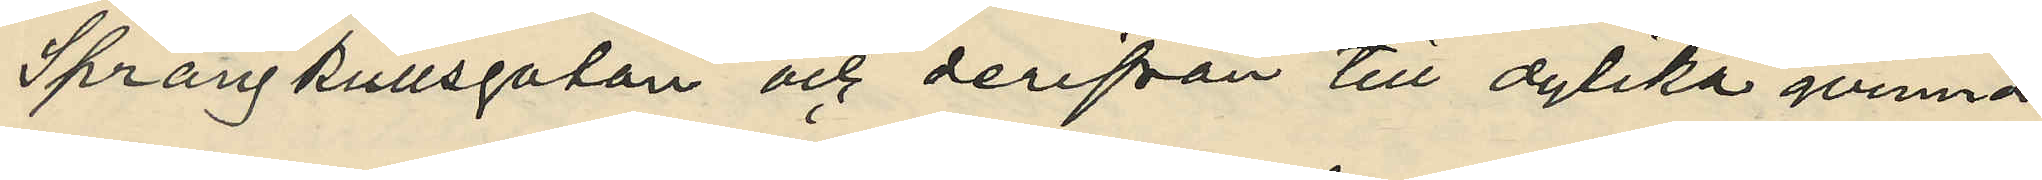Sprängkullsgatan och derifrån till dylika qvinnor
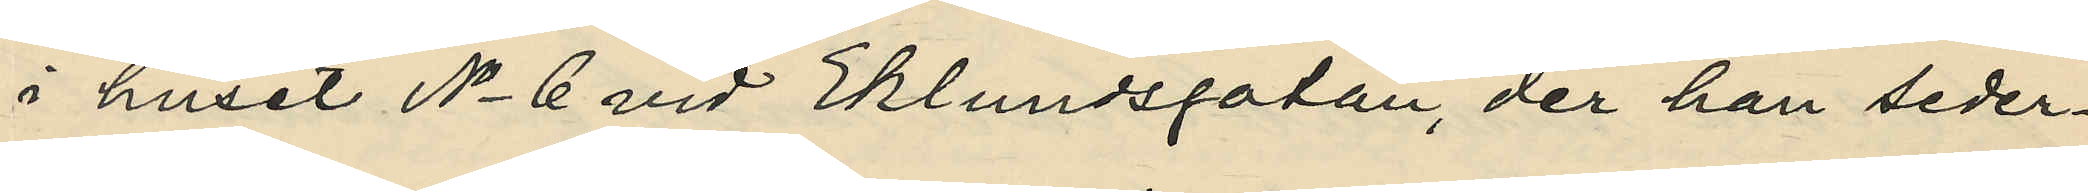i huset No 6 vid Eklundsgatan, der han seder¬
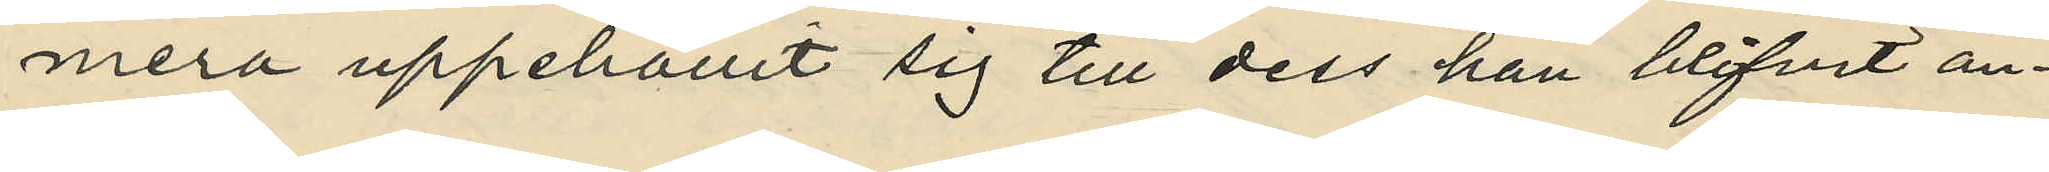mera uppehållit sig till dess han blifvit an¬
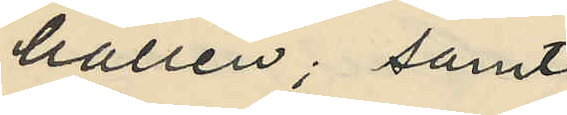hållen; samt
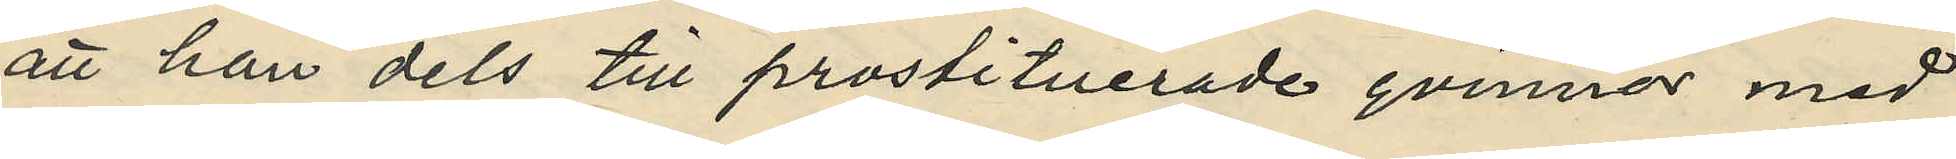att han dels till prostituerade qvinnor med
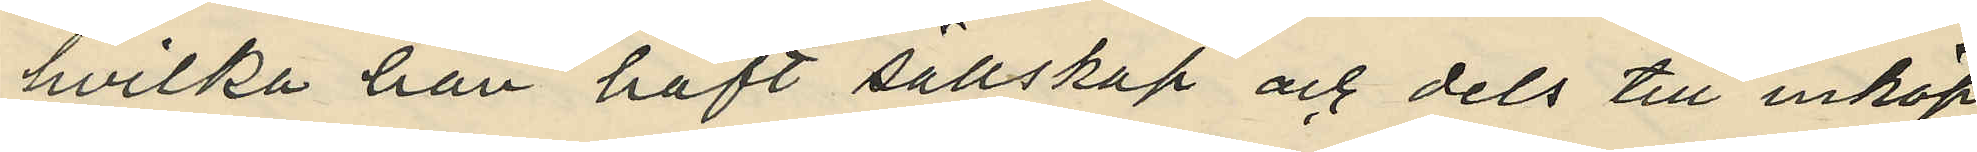hvilka han haft sällskap och dels till inköp
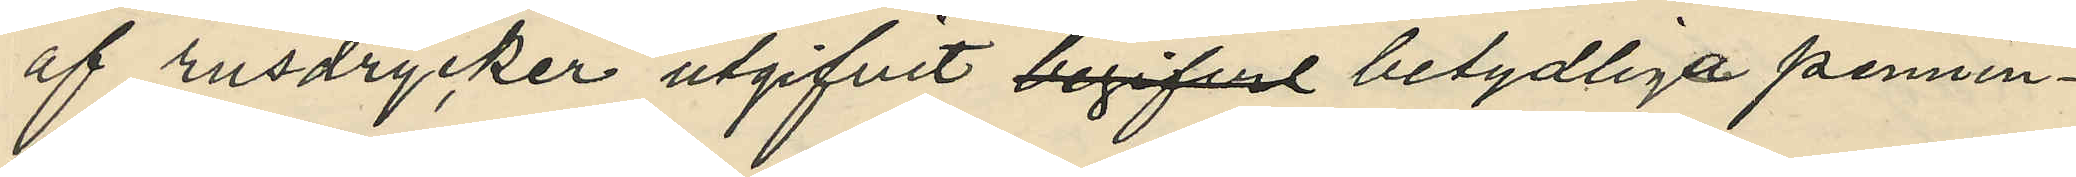af rusdrycken utgifvit begifvet betydliga pennin¬
